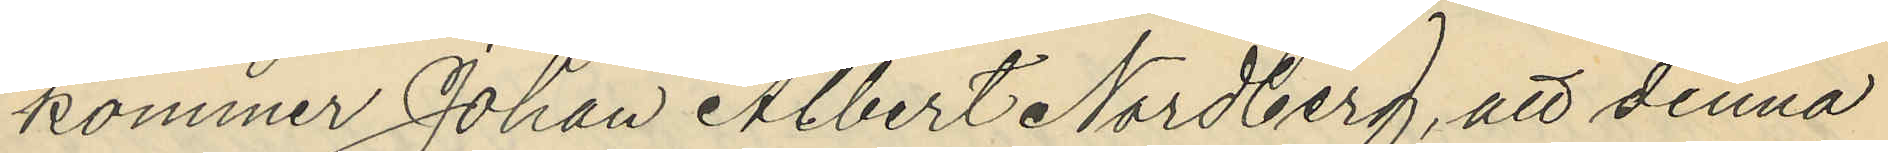kommer Johan Albert Nordberg, att denna
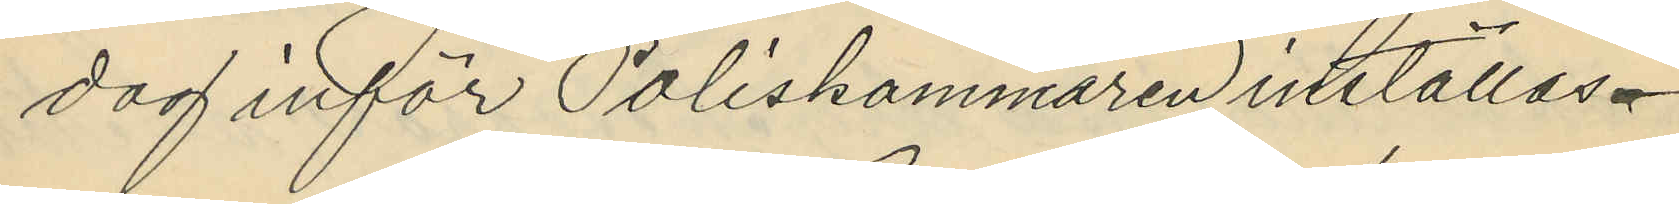dag inför Poliskammaren inställas.
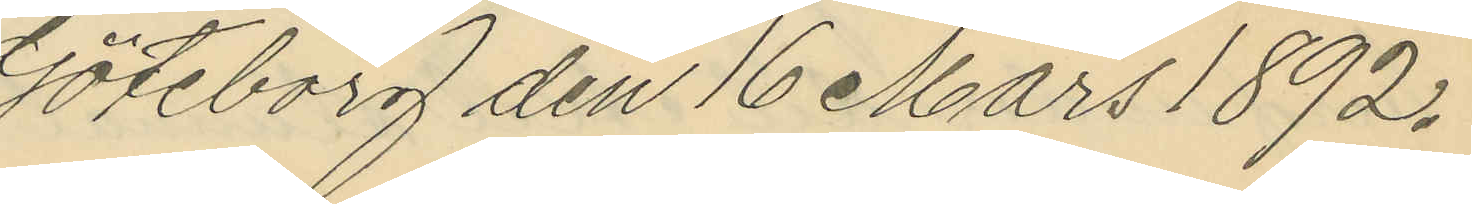Göteborg den 16 Mars 1892.
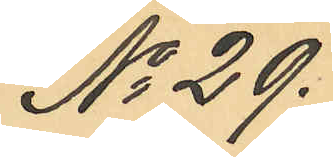No 29.
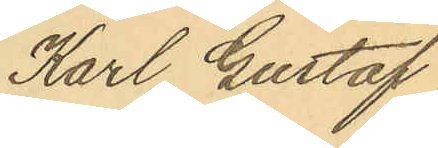Karl Gustaf
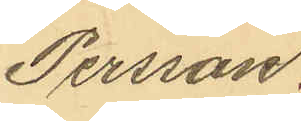Persson.
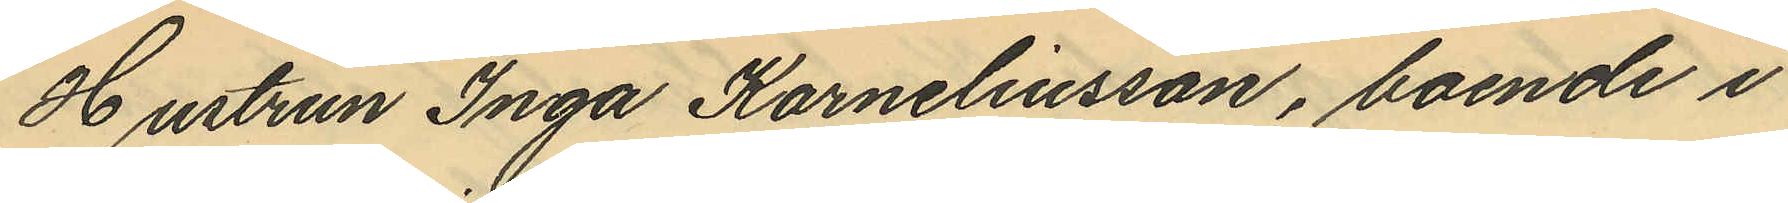Hustrun Inga Korneliusson, boende i
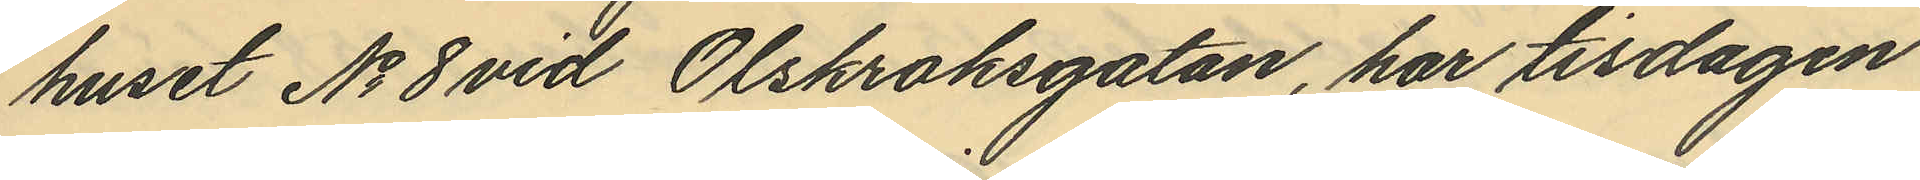huset No 8 vid Olskroksgatan, har tisdagen
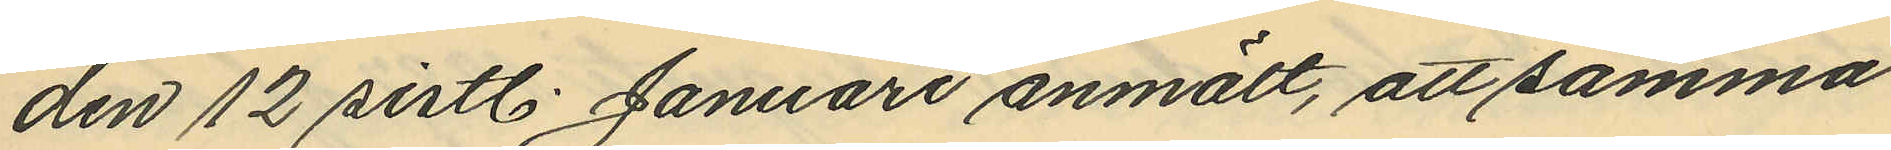den 12 sistl. Januari anmält, att samma
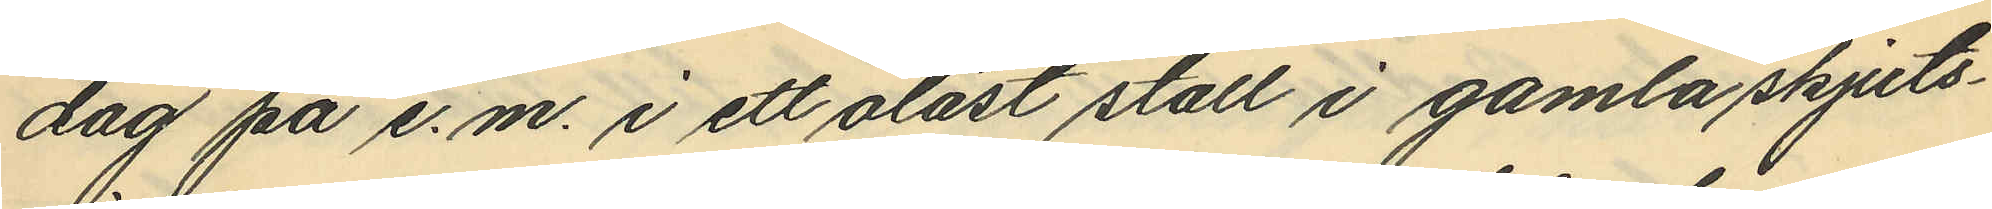dag på e.m. i ett olåst stall i gamla skjuts¬
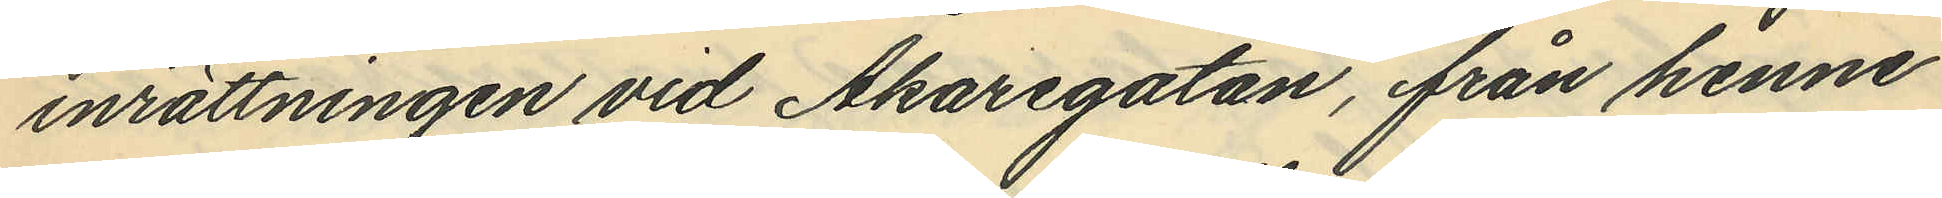inrättningen vid Åkaregatan, från henne
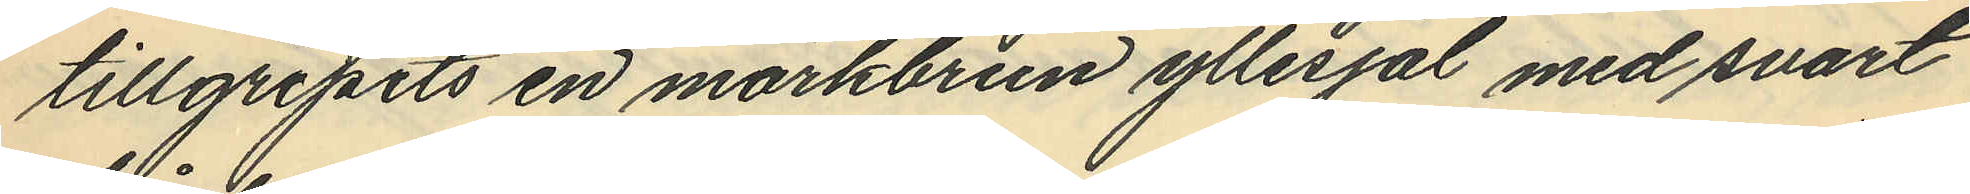tillgripits en mörkbrun yllesjal med svart
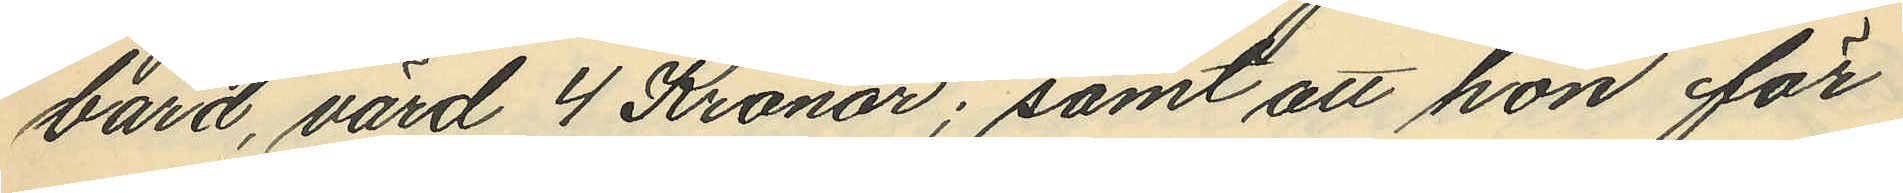bård, värd 4 Kronor; samt att hon för
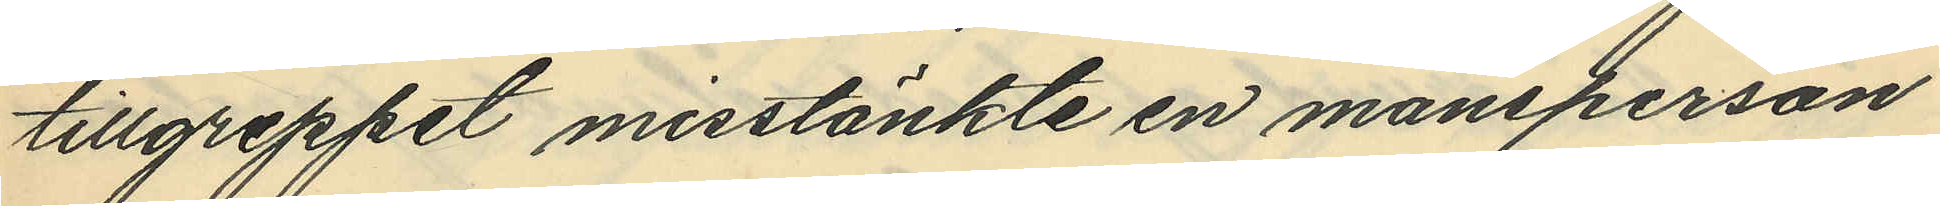tillgreppet misstänkte en mansperson
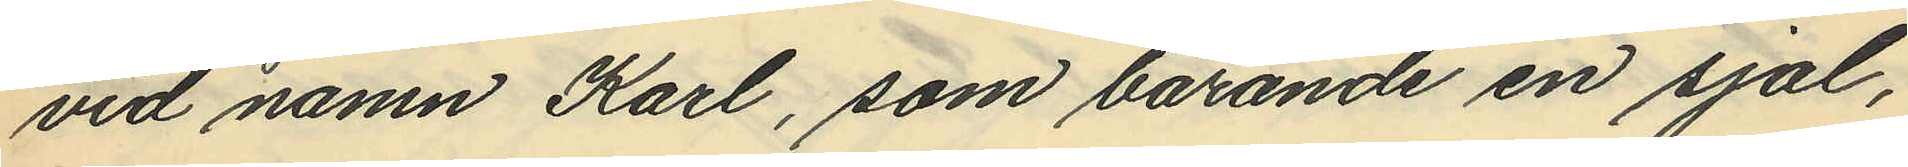vid namn Karl, som bärande en sjal,
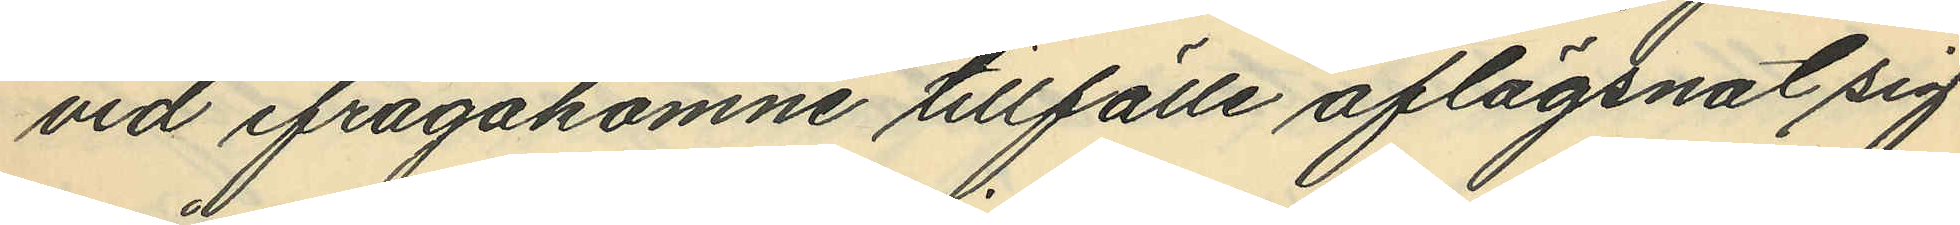vid ifrågakomne tillfälle aflägsnat sig
